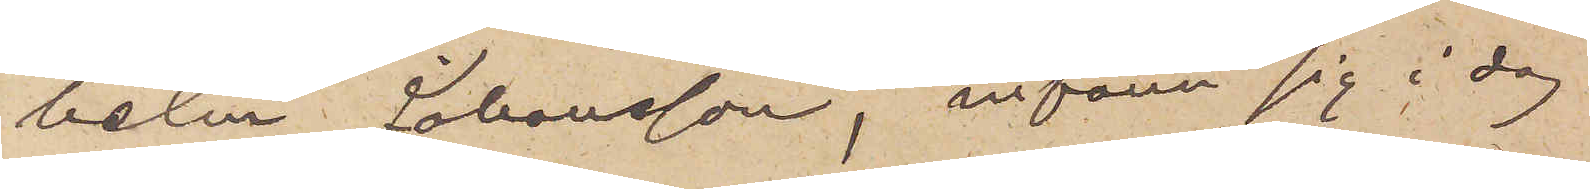helm Johansson, infann sig i dag
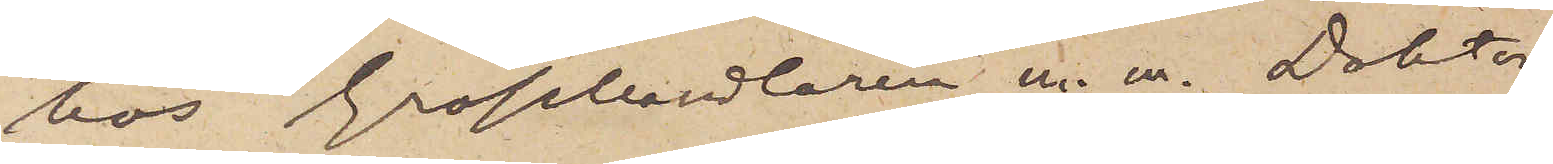hos Grosshandlaren m. m. Doktor
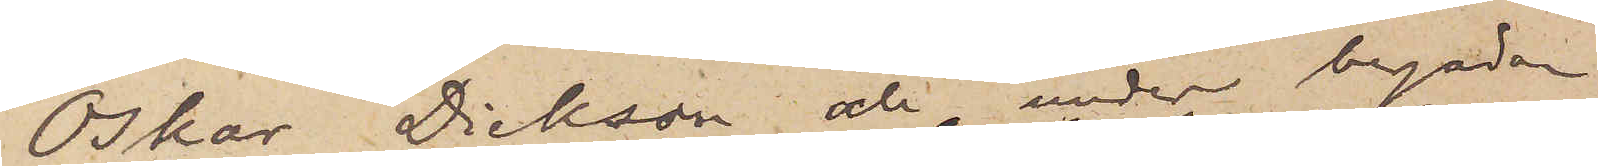Oskar Dickson och under begäran
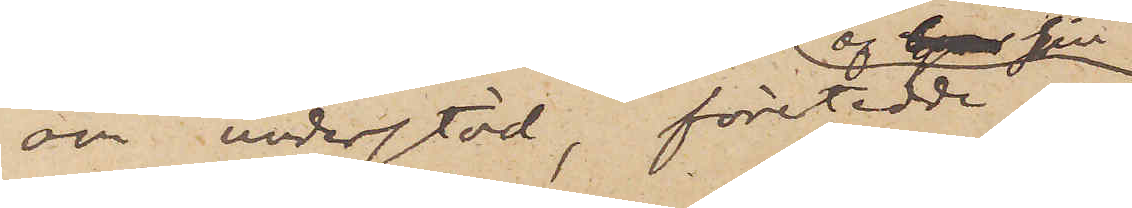om understöd, företedde en
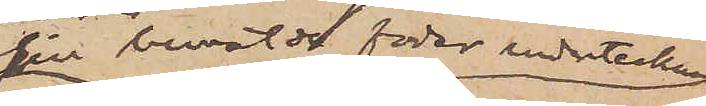sin bemälde fader underteckad
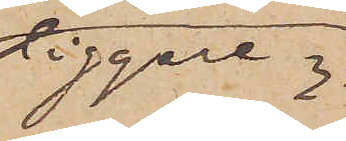tiggare¬
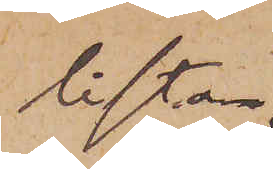lista
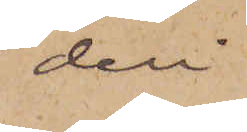deri
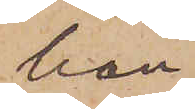han
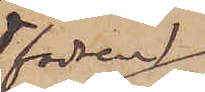(fadren)
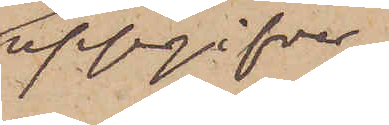uppgifver,
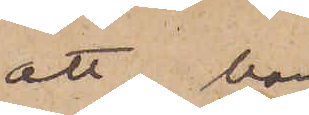att han
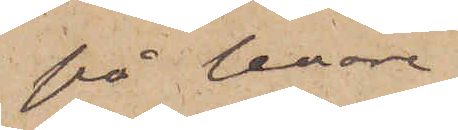på senare
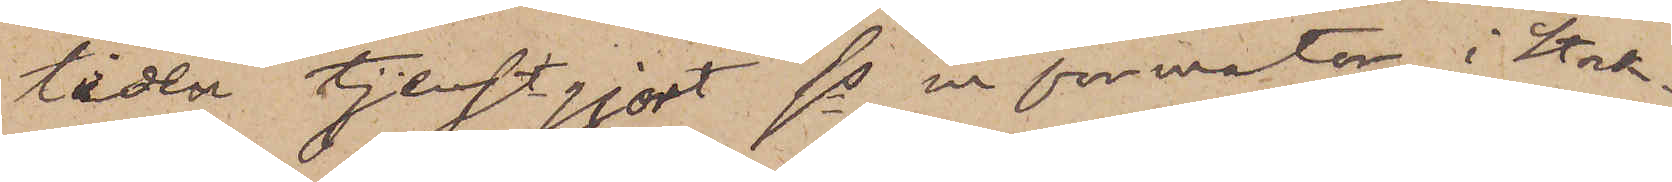tiden tjenstgjort som informator i Stock¬
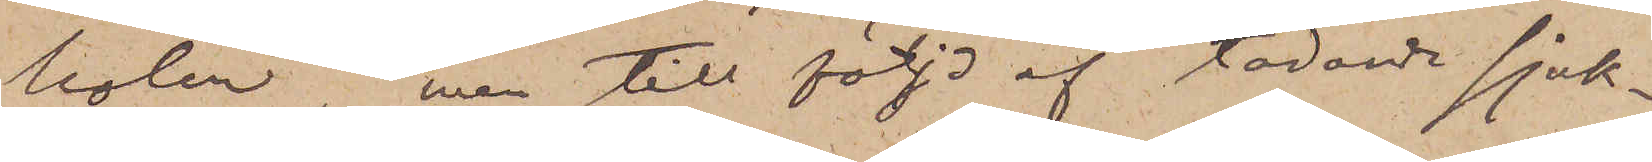holm, men till följd af tärande sjuk¬
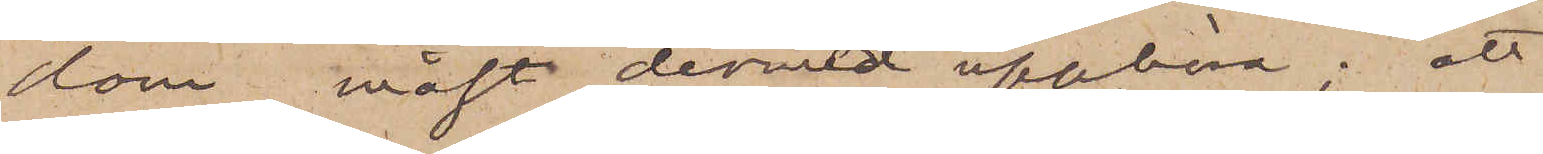dom måst dermed upphöra; att
